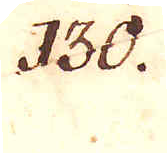130.
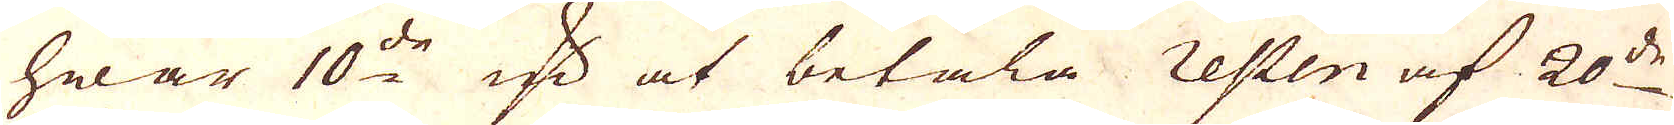hwar 10:de qv:n at betala resten af 20:de
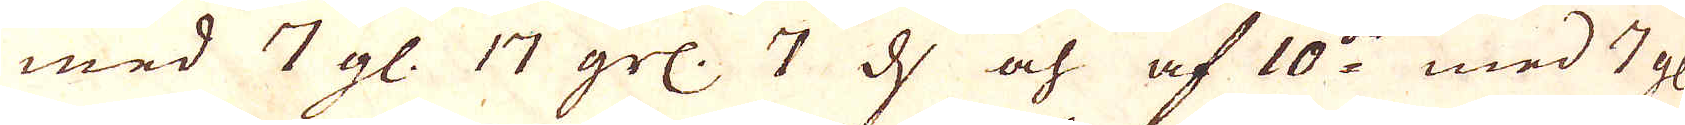med 7 gl. 17 grs. 7 d och af 10:de med 7 gl.
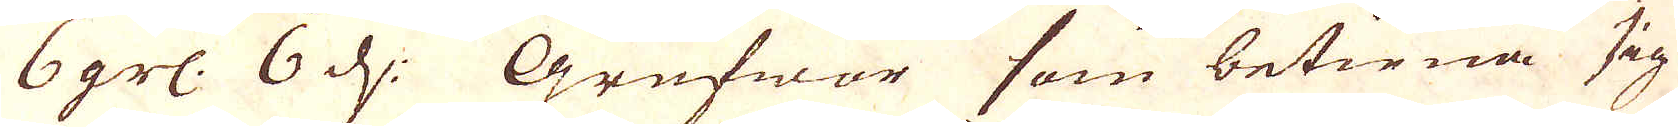6 grs. 6 d. Grufwor som betiena sig
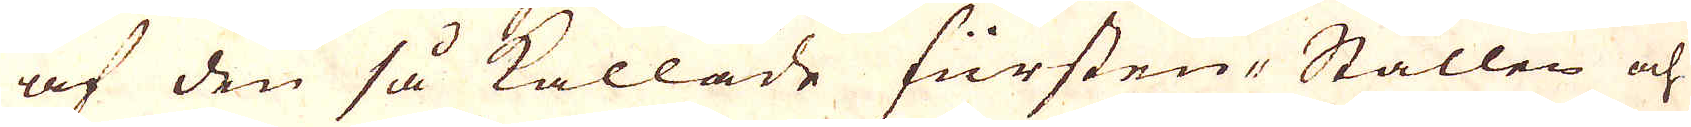af den så kallade fürsten-Stållen och
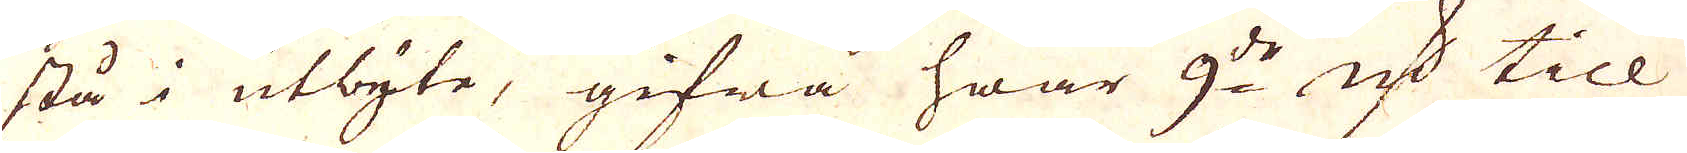stå i utbyte, gifwa hwar 9:de qv:n till
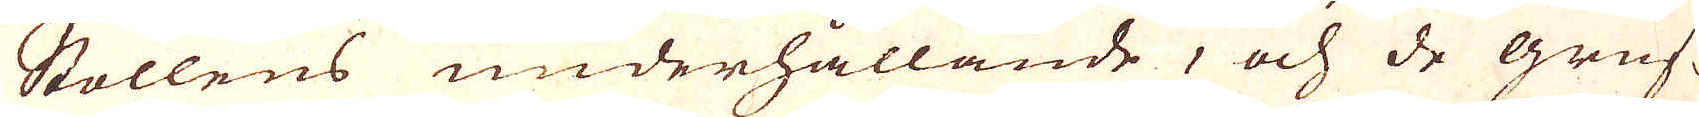Stollens underhållande, och de gruf-
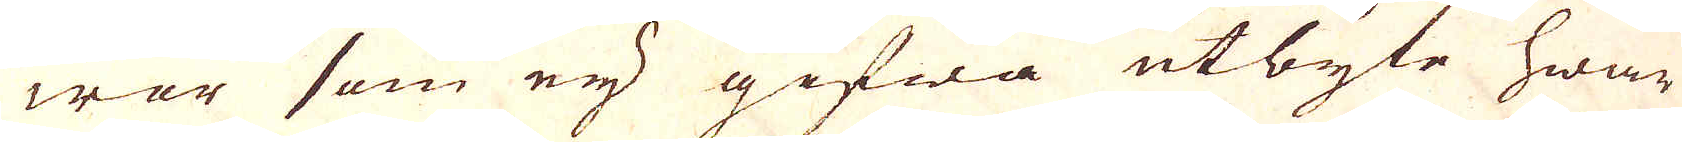wor som eij gifwa utbyte hwar
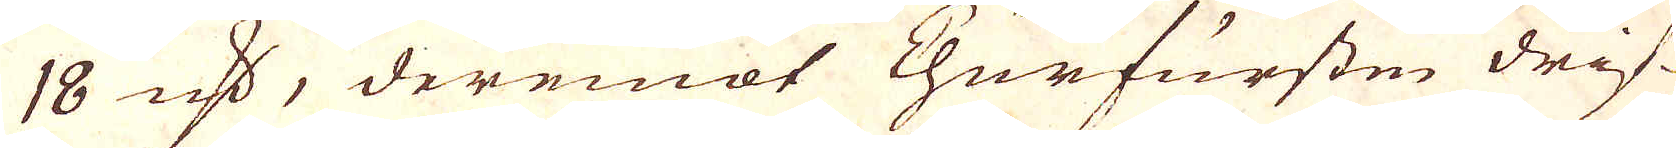18 qv:n, deremot Churfursten drif-
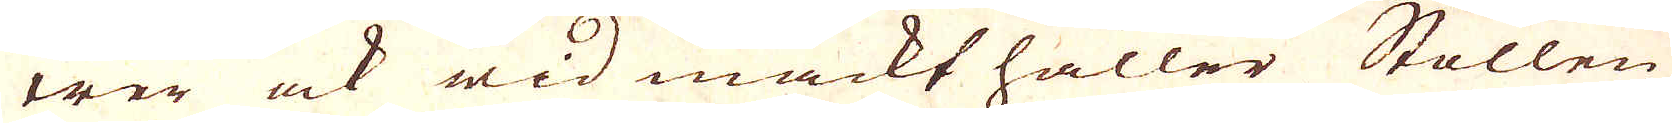wer ock wid mackt håller Stollen
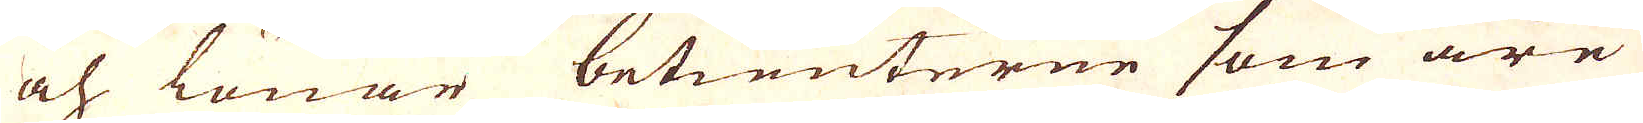och lönar betienterne som äre
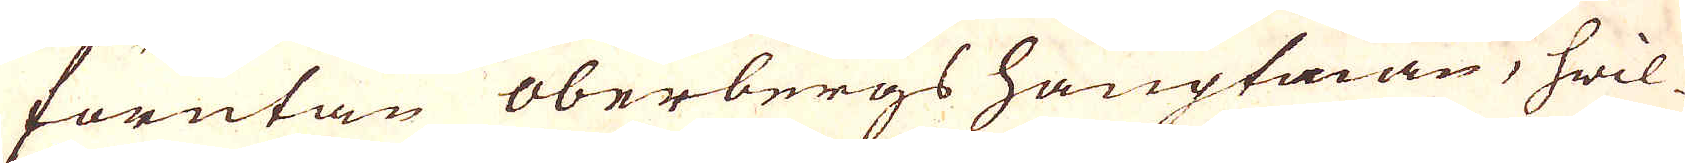förutan oberbergs hauptman, hwil-
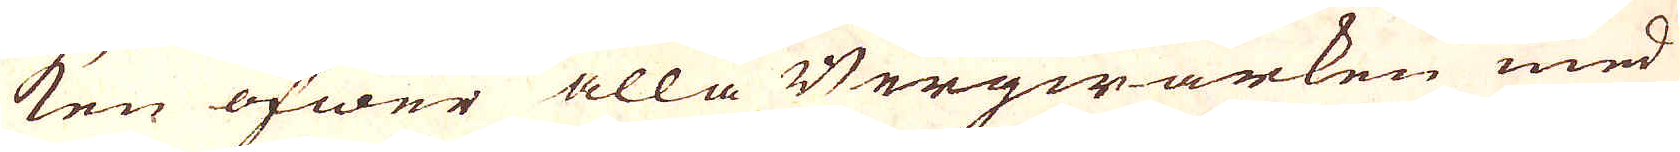ken öfwer alla Bergwärken med
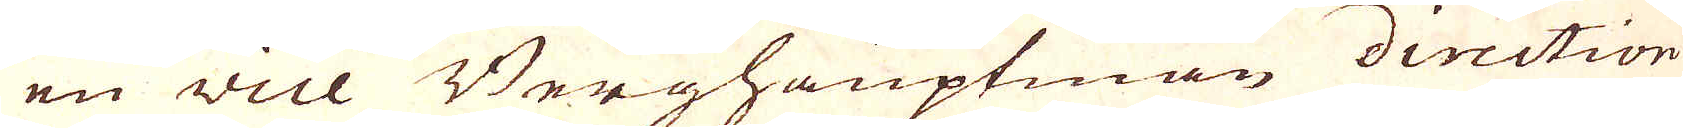en vice Berghauptman direction
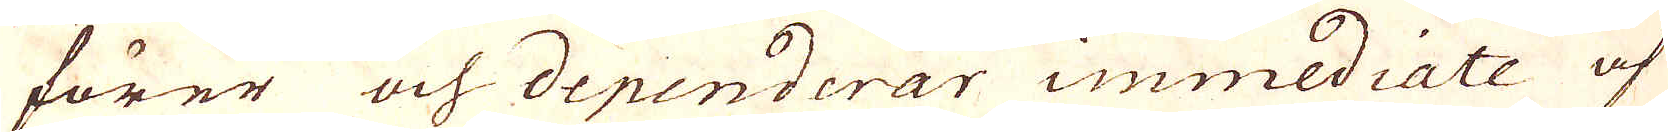förer och dependerar immediate af
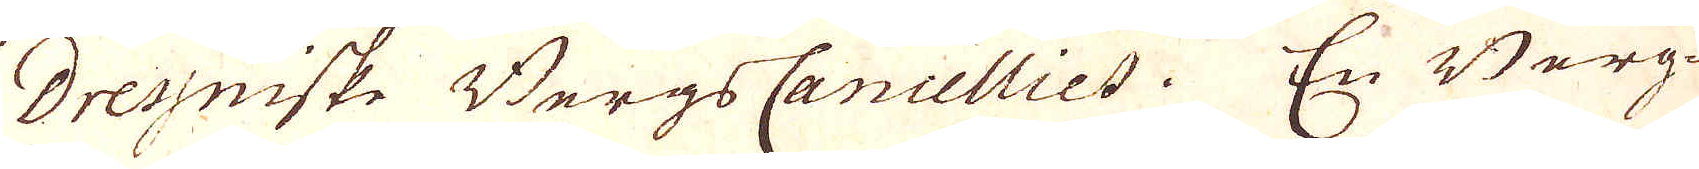Dressniske Bergs Cancelliet. En Berg-
